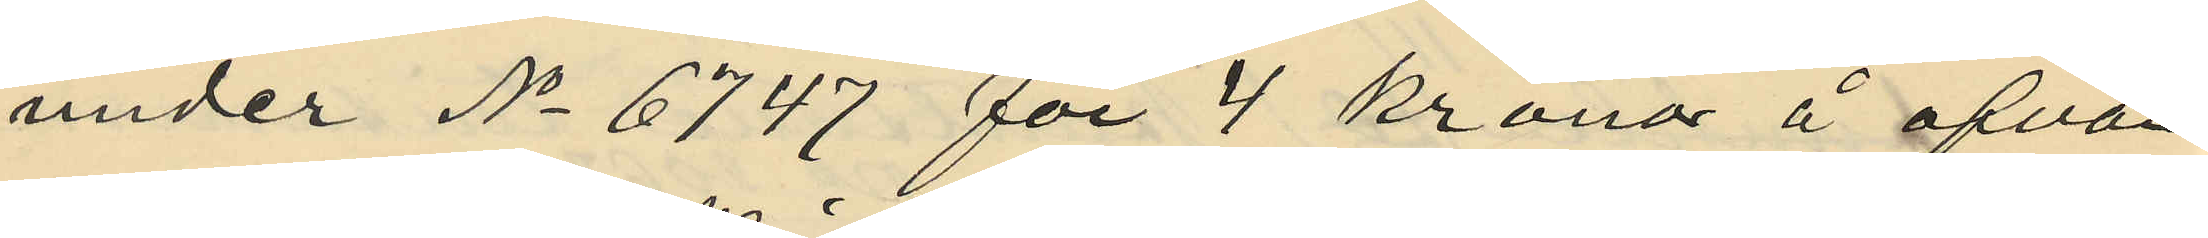under No 6747 för 4 kronor å ofvan¬
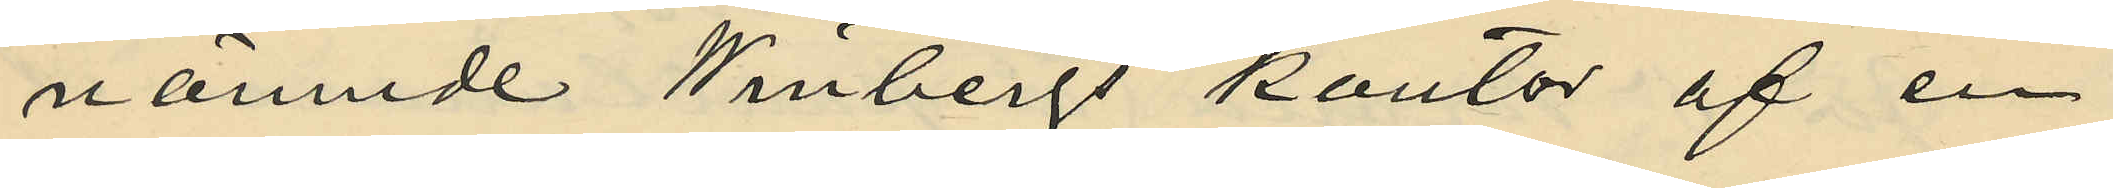nämnde Winbergs kontor af en
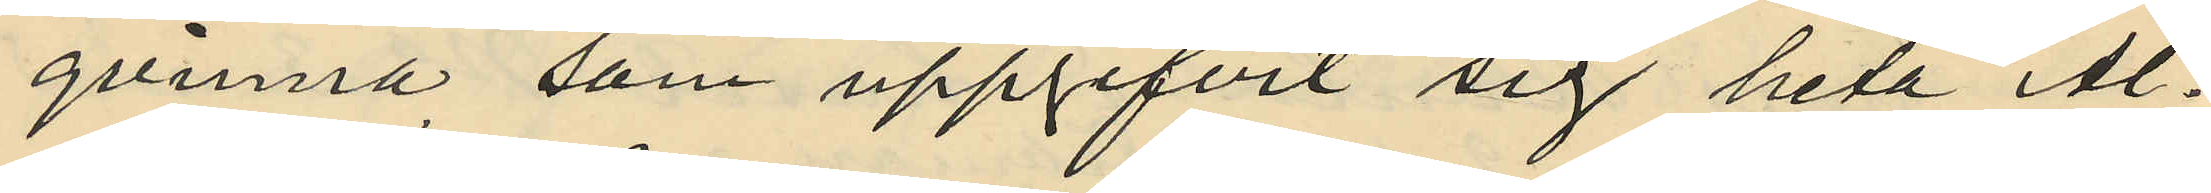qvinna, som uppgifvit sig heta Al¬
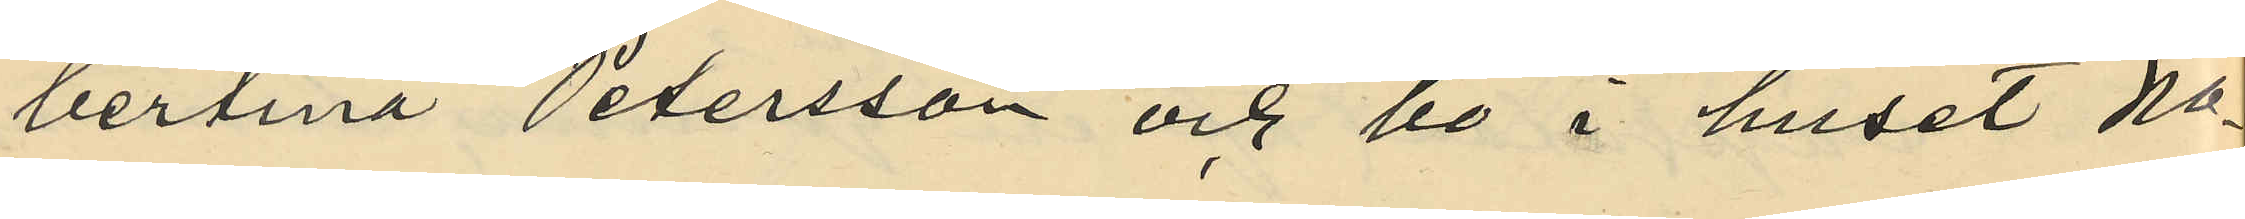bertina Petersson och bo i huset No
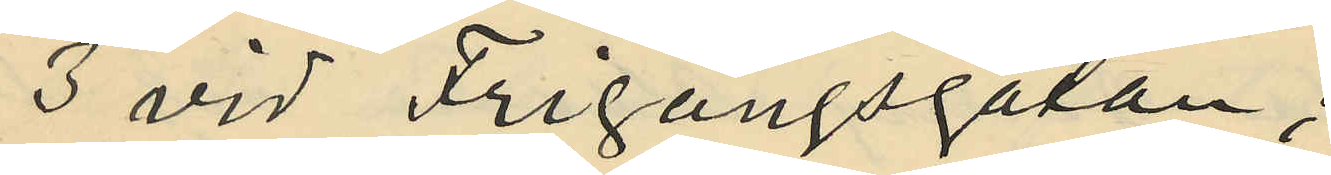3 vid Frigångsgatan;
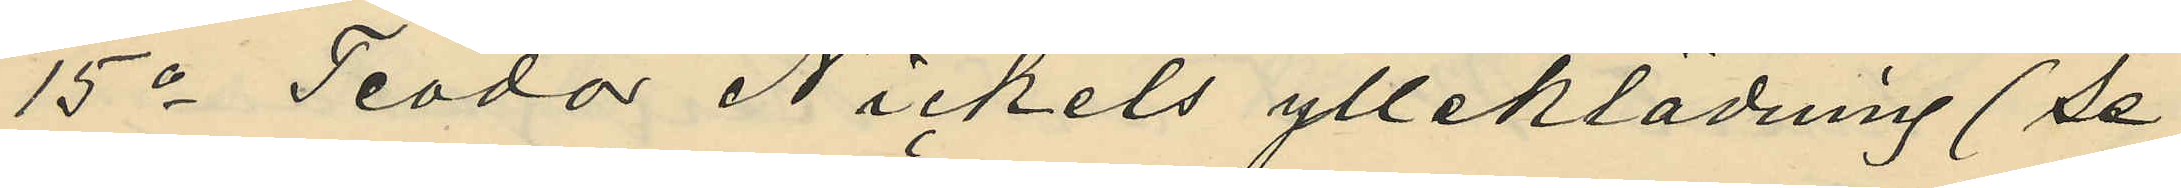15o Teodor Nickels ylleklädning (se
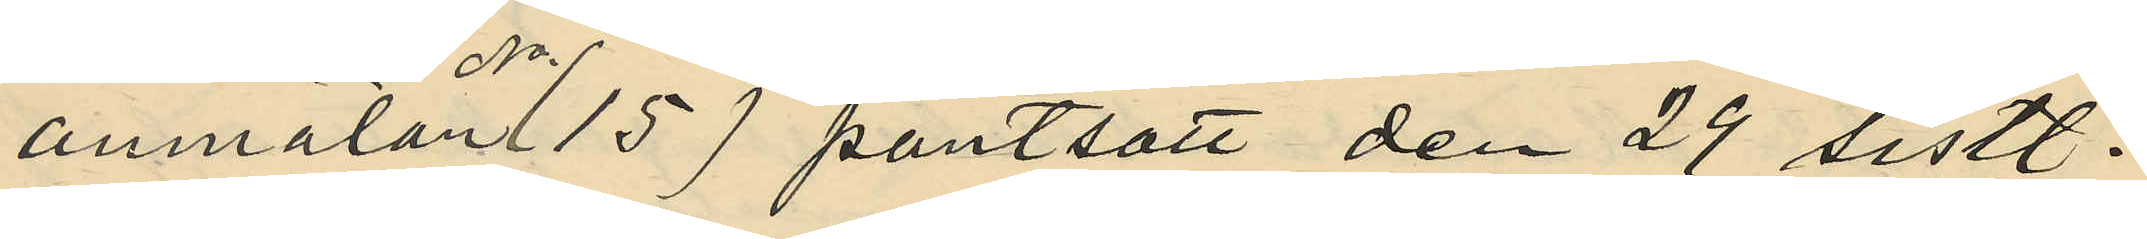anmälan No 15) pantsatt den 29 sistl.
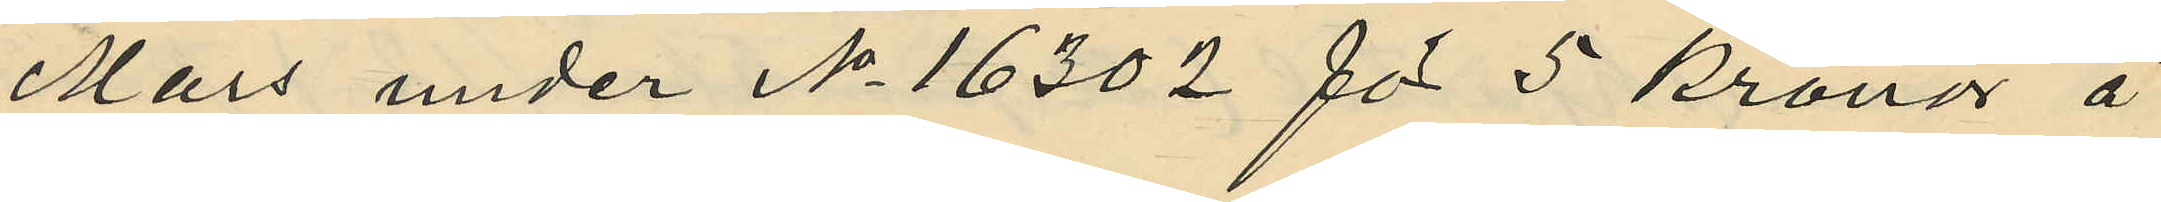Mars under No 16302 för 5 kronor å
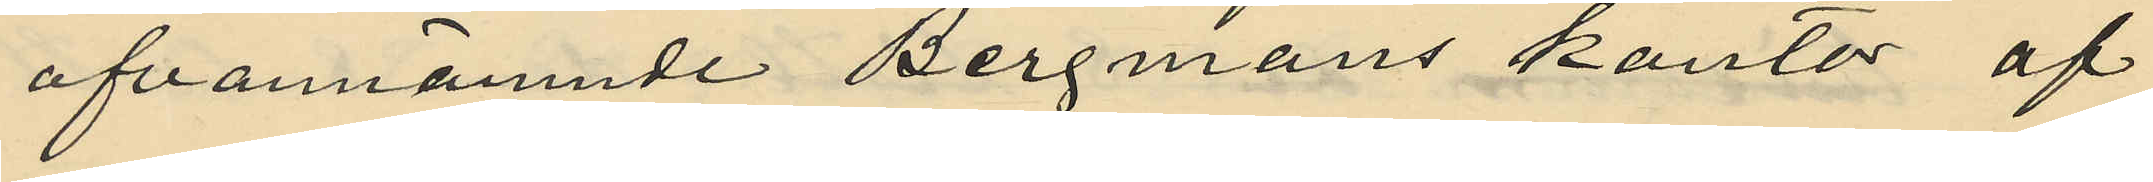ofvannämnde Bergmans kontor af
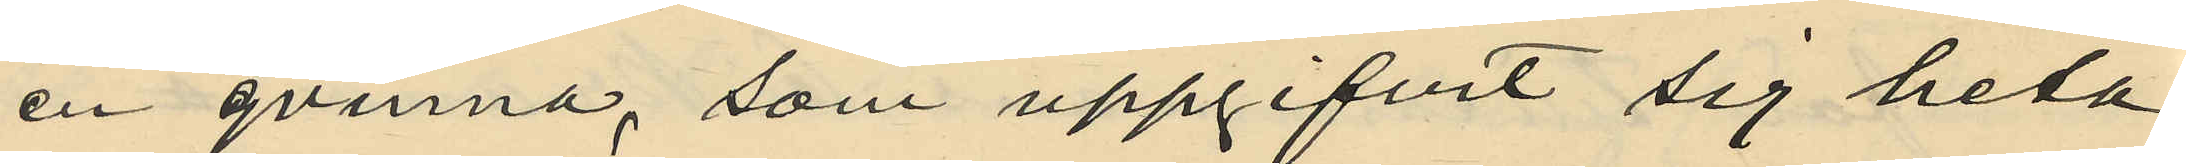en qvinna, som uppgifvit sig heta
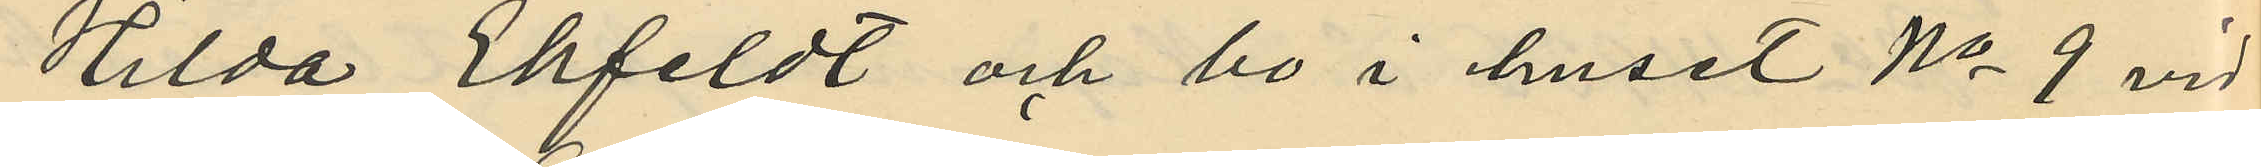Hilda Ekfeldt och bo i huset No 9 vid
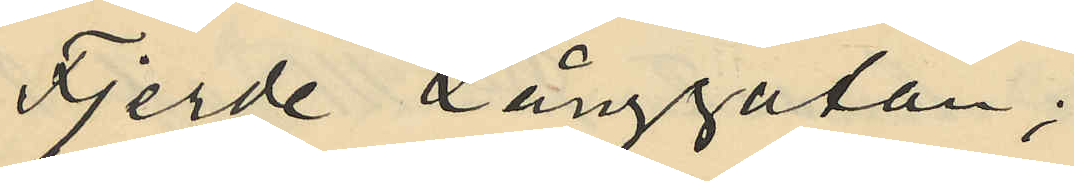Fjerde Långgatan;
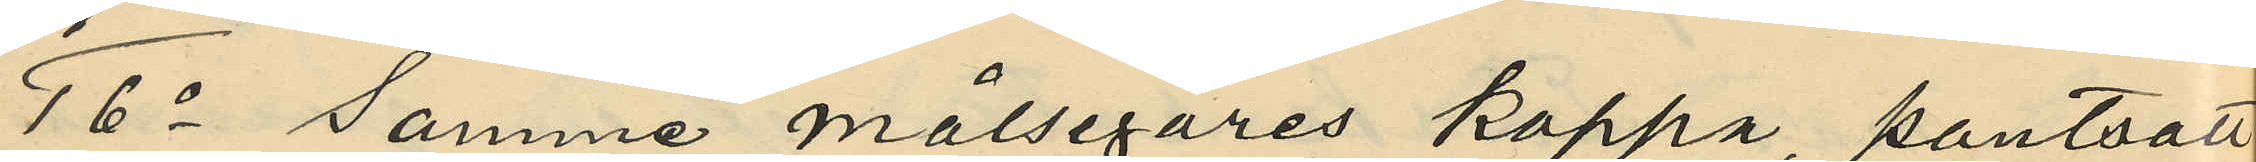16o samma målsegares kappa, pantsatt
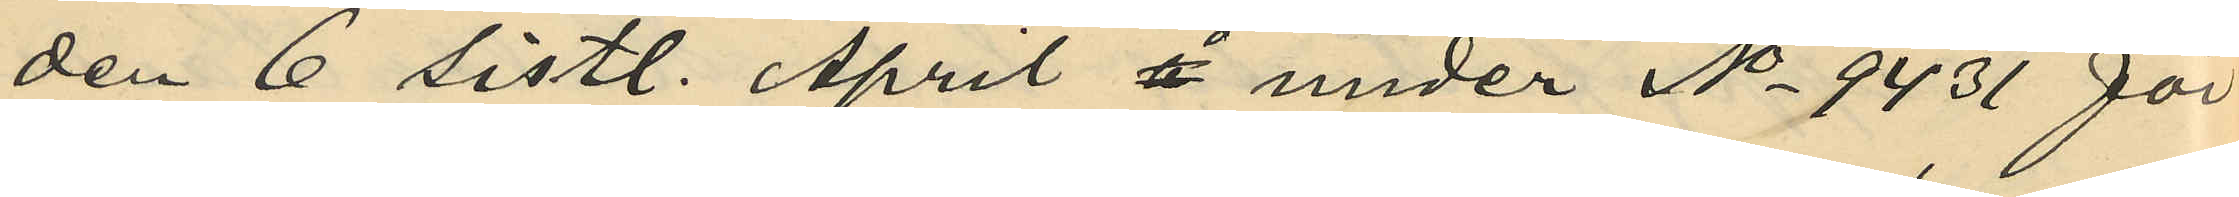den 6 sistl. April å under No 9431 för
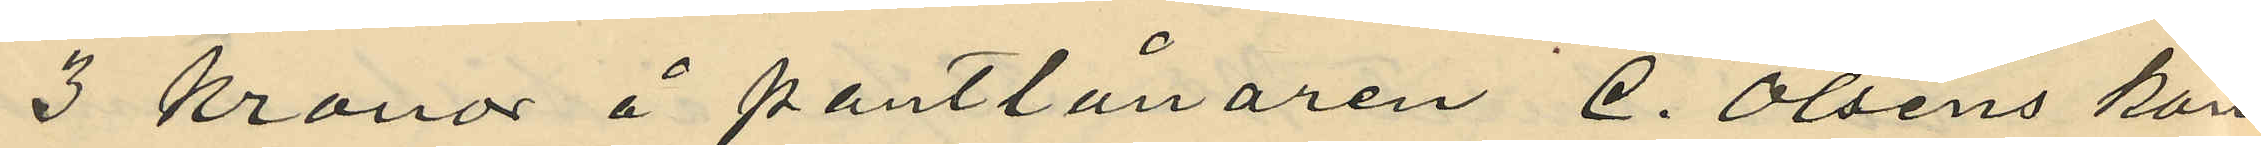3 kronor å pantlånaren C. Olsens kon¬
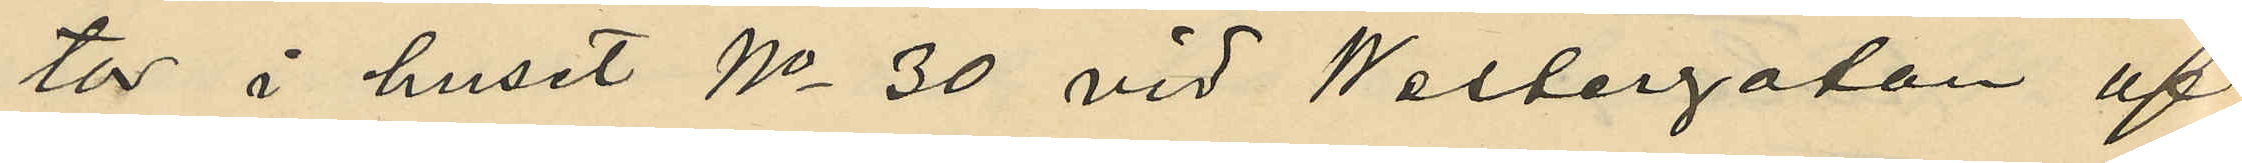tor i huset No 30 vid Westergatan af
